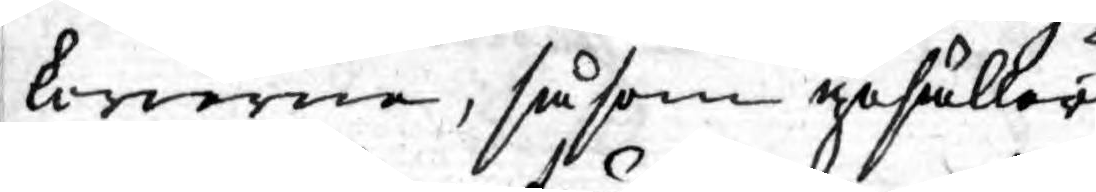kerierna, såsom gesäller
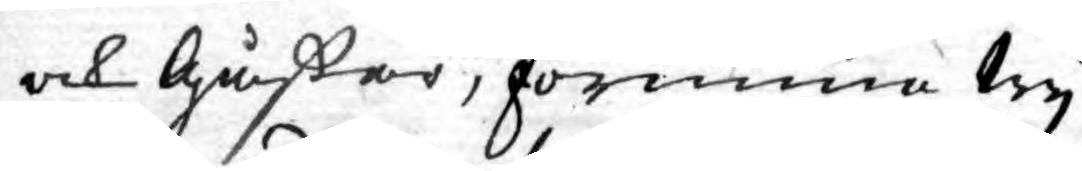och Gåßor, förunna Wy
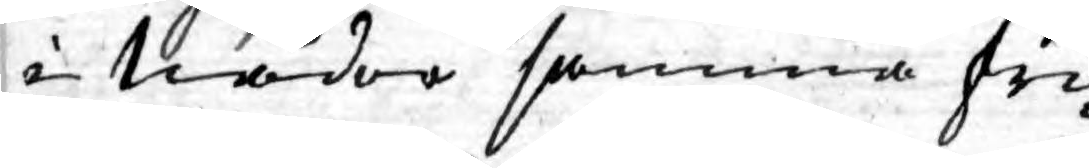i Nåder samma fri¬
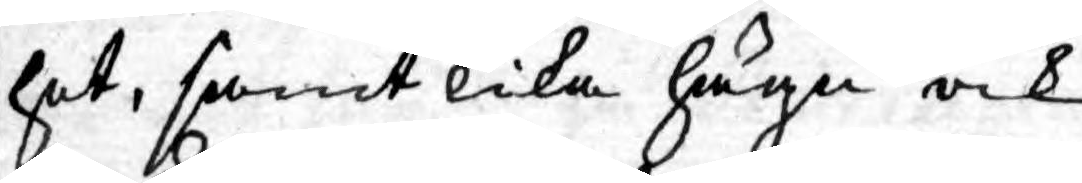het, samt lika hägn ock
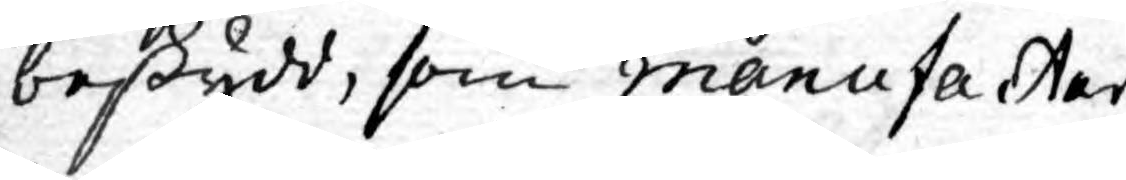beskydd, som manufakter
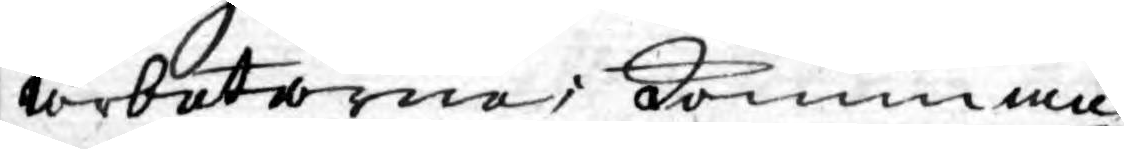arbetarne; komman¬
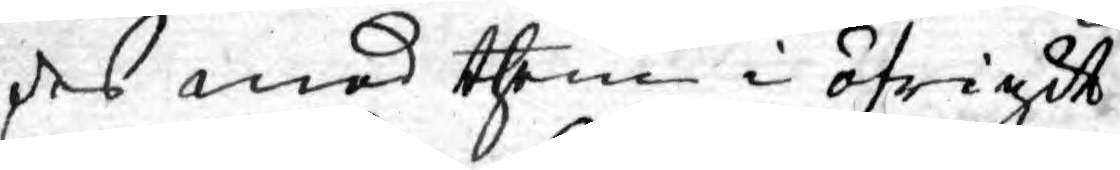des med them i öfrigit
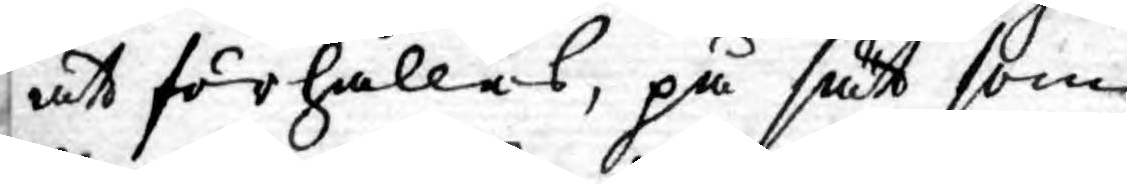att förhållas, på sätt som
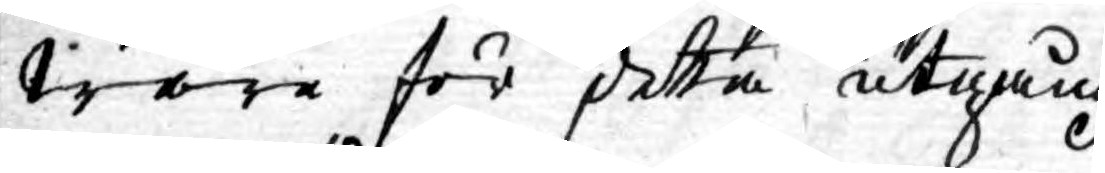wåra för detta utgång¬
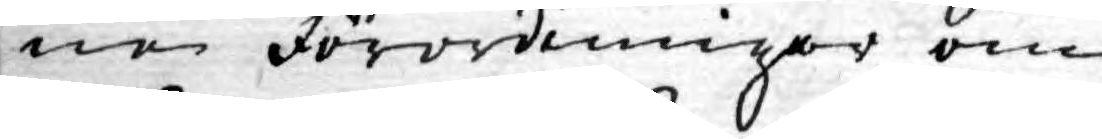ne förordningar om
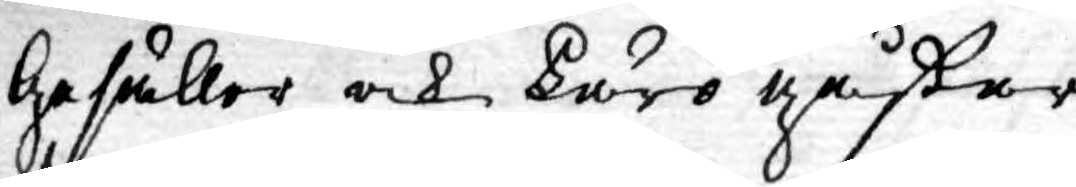Gesäller och Läro gåßar,
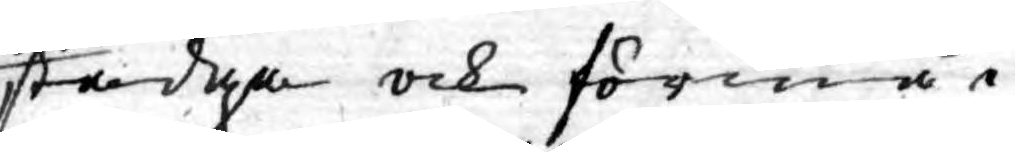stadga och förmå.
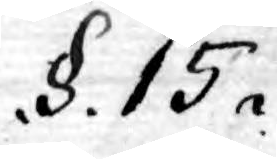.§.15.
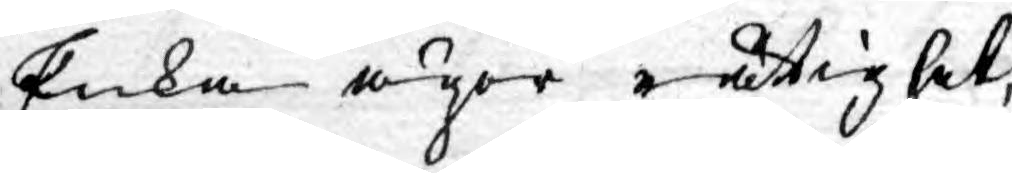Enka äger rättighet,
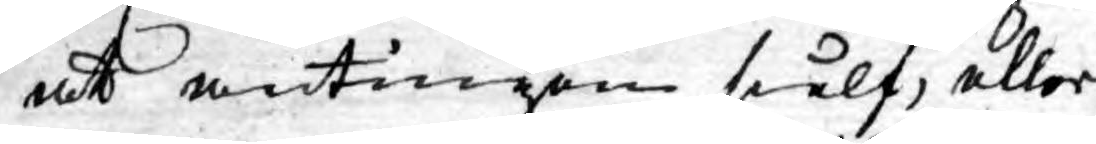at antingen sielf, eller
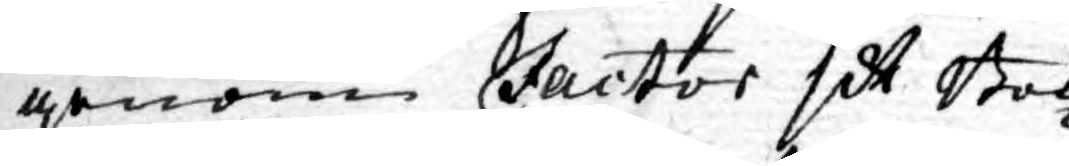genom Factor sit Bok¬
